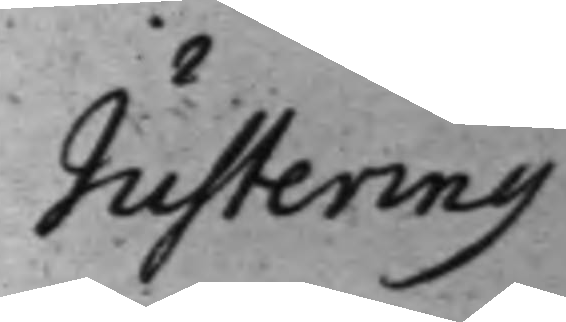Justering
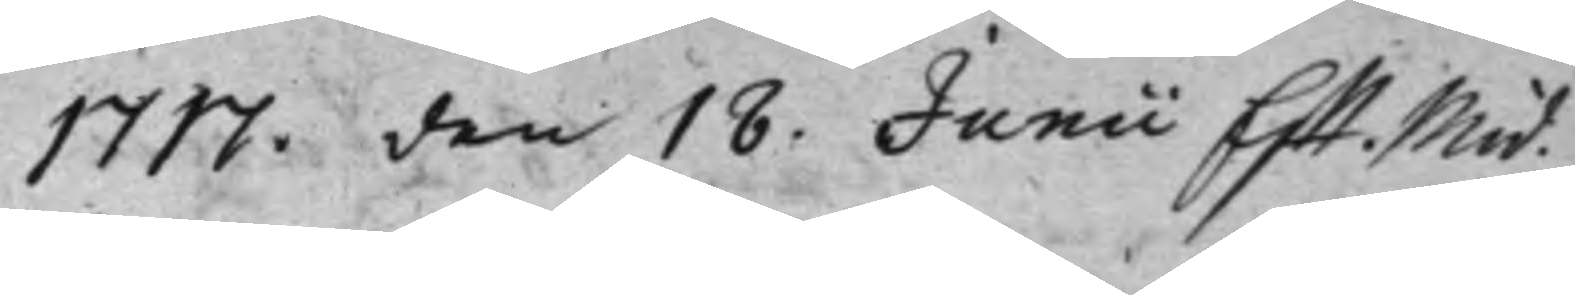1717. den 18. Junii Efft Mid.
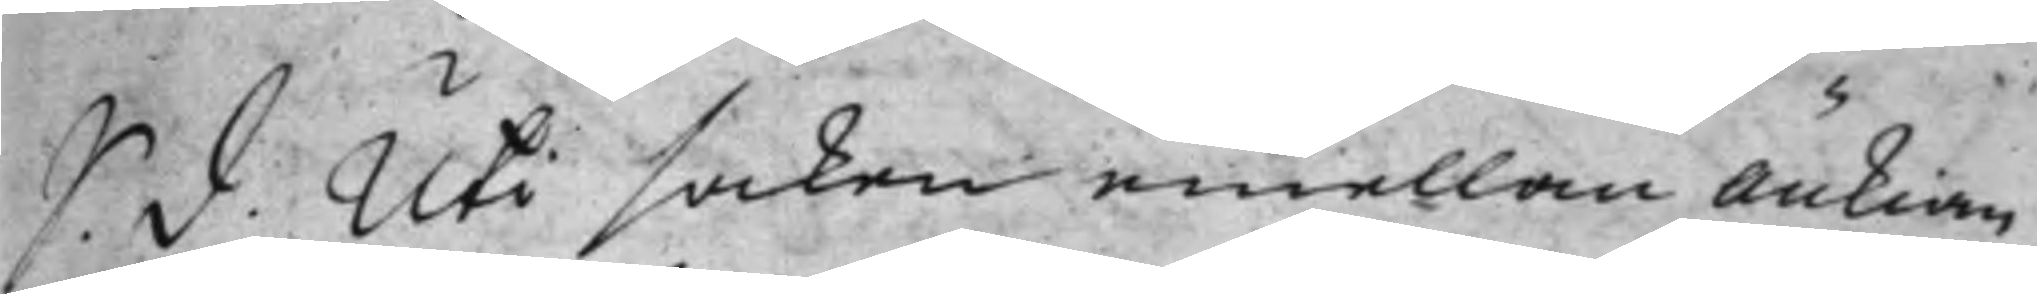S. d. Uti saken emellan änkian
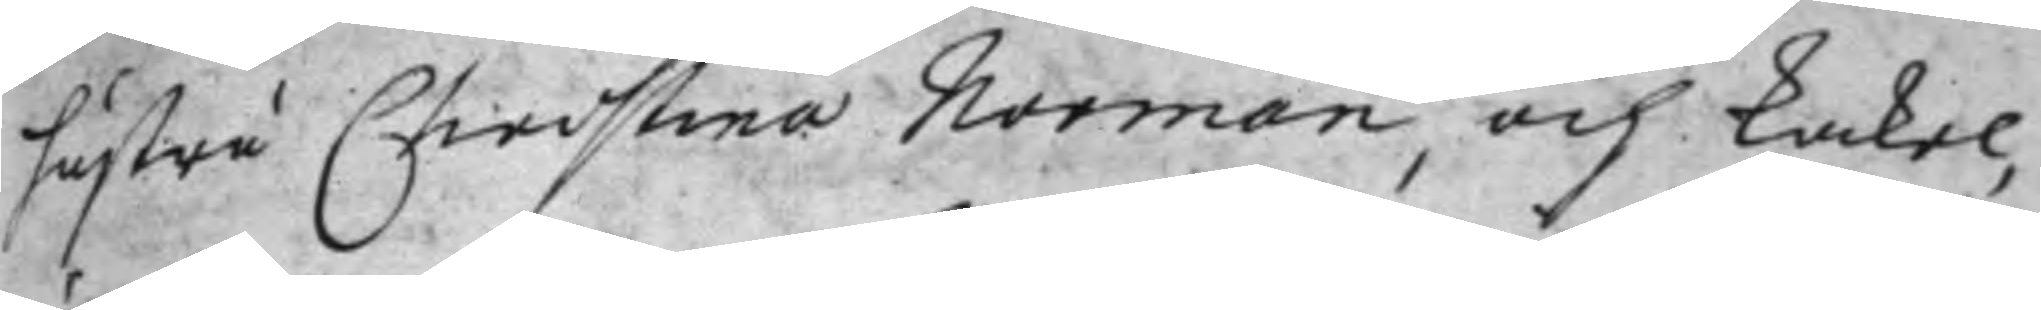hustru Christina Norman, och kakel¬
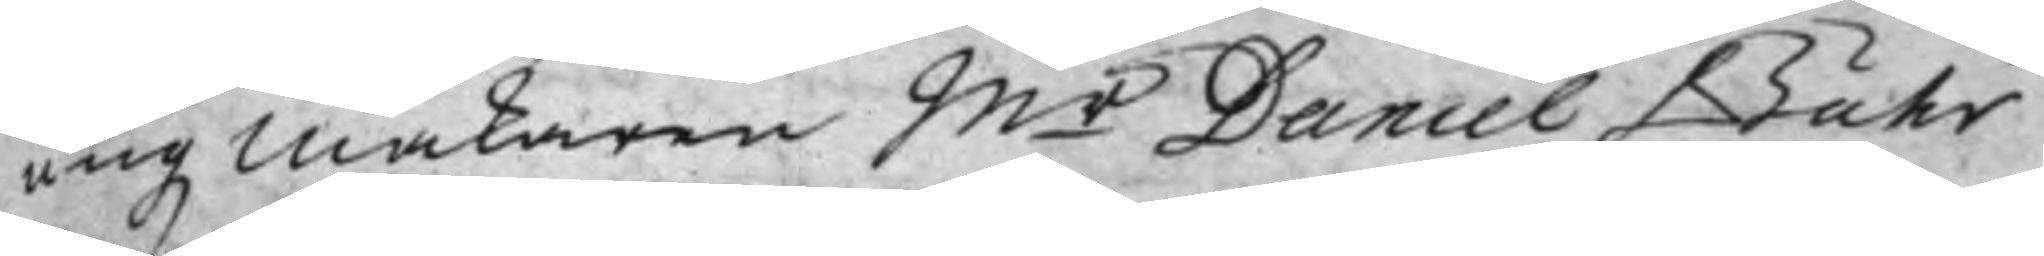ungz makaren M:r Daniel Buhr
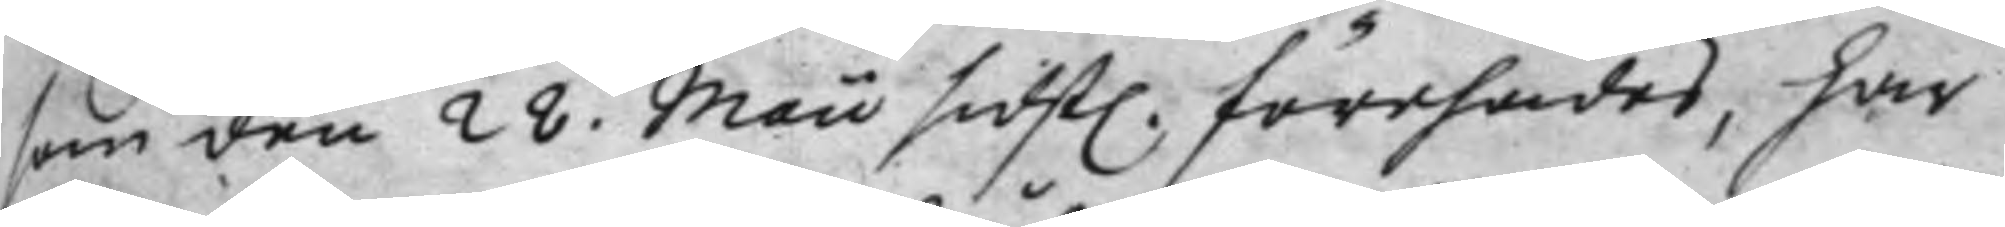som den 28 Maii sidst. förehades, har
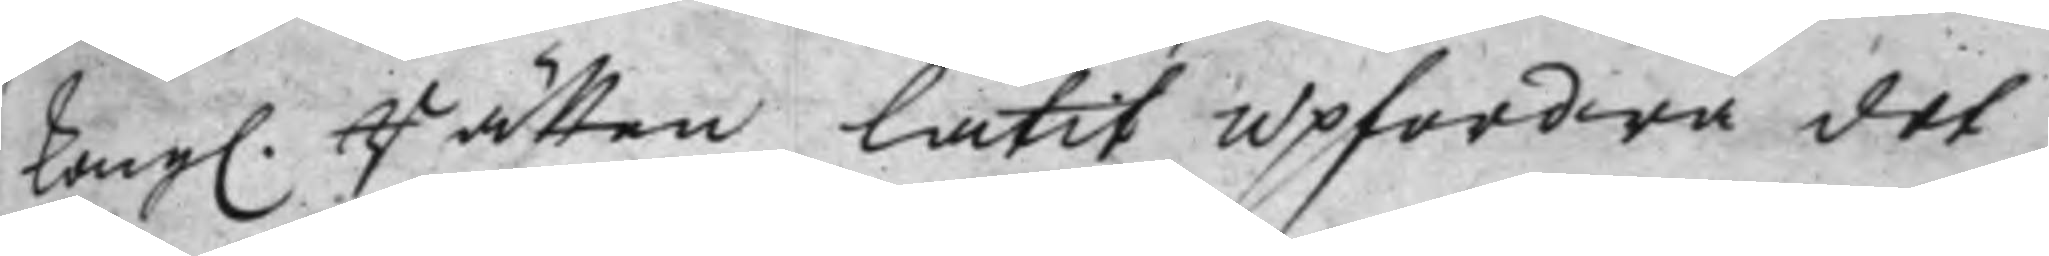Kongl. Rätten låtit upfordra det
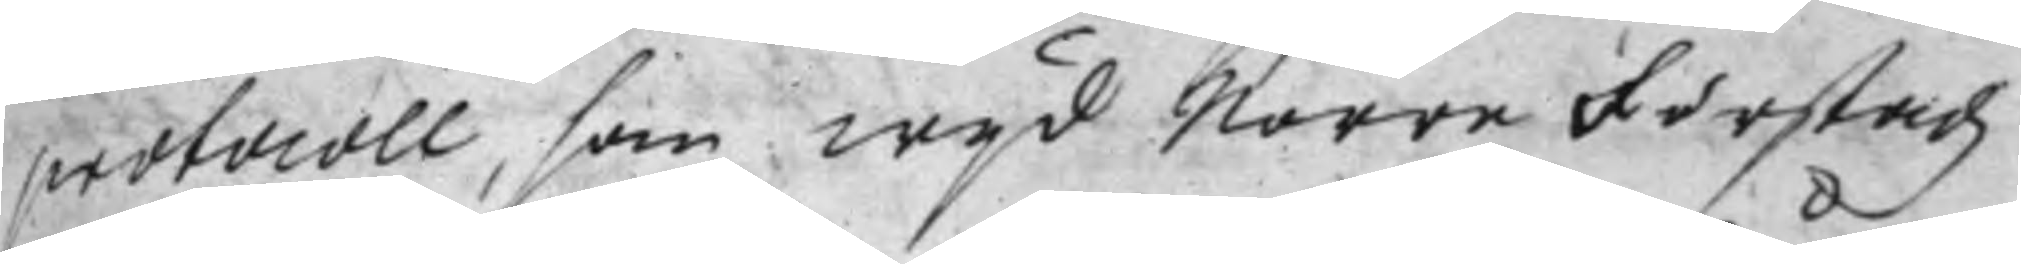protocoll, som wijd Norre Förstadz
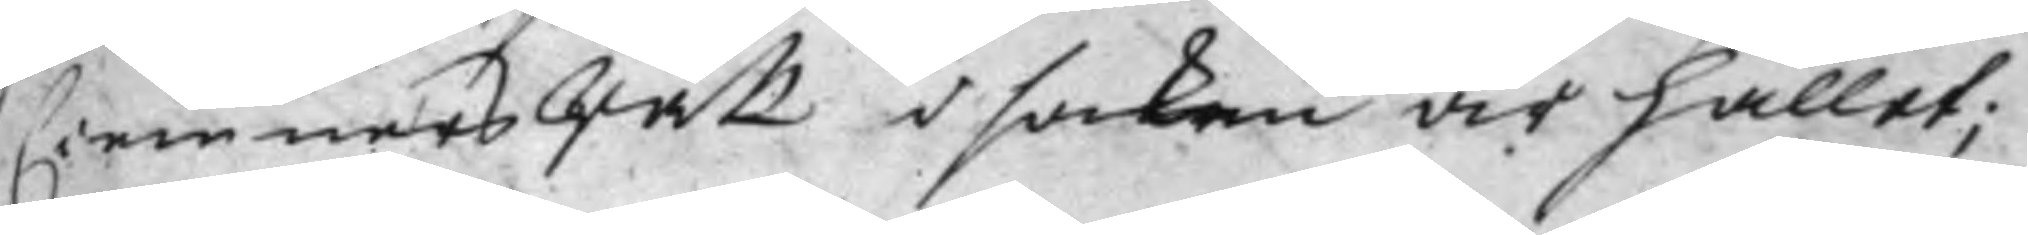Ciemners Rätt i saken är hållet;
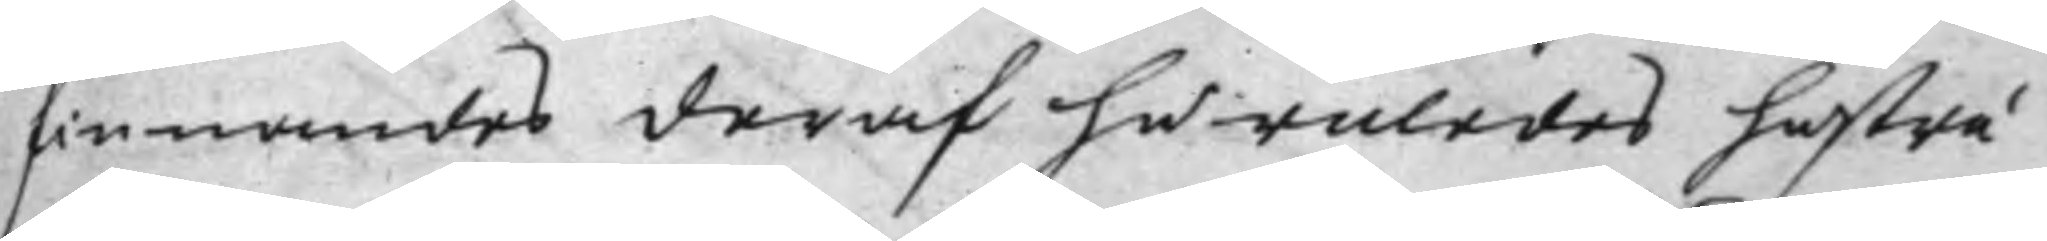finnandes deraf huruledes hustru
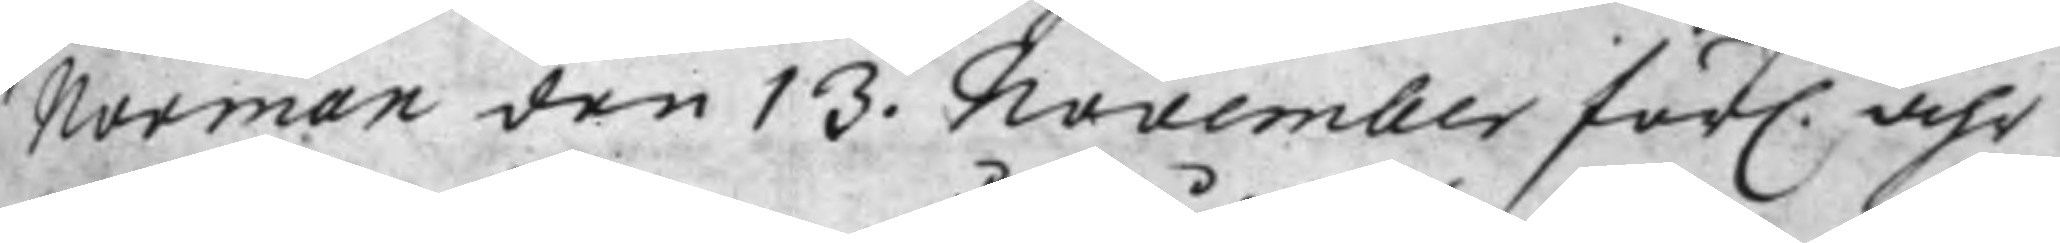Norman den 13. November för. åhr
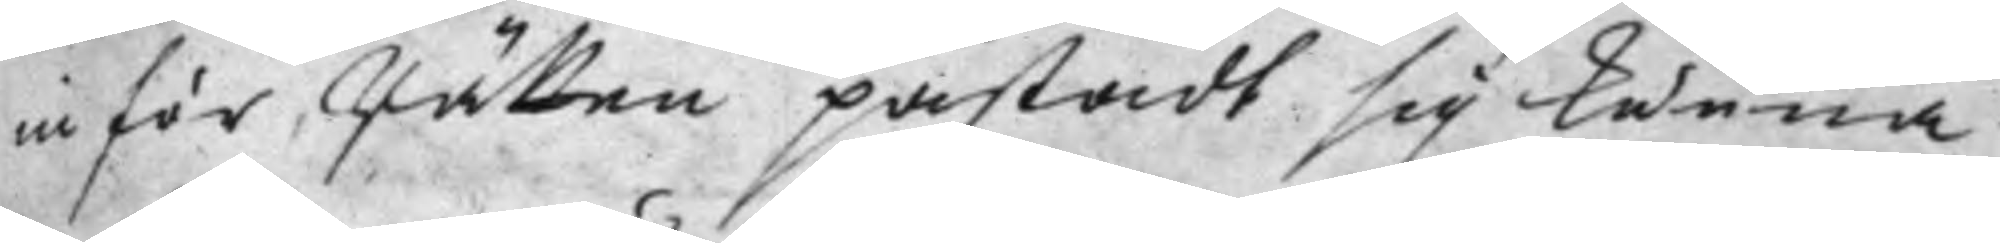inför Rätten påstådt sig kunna
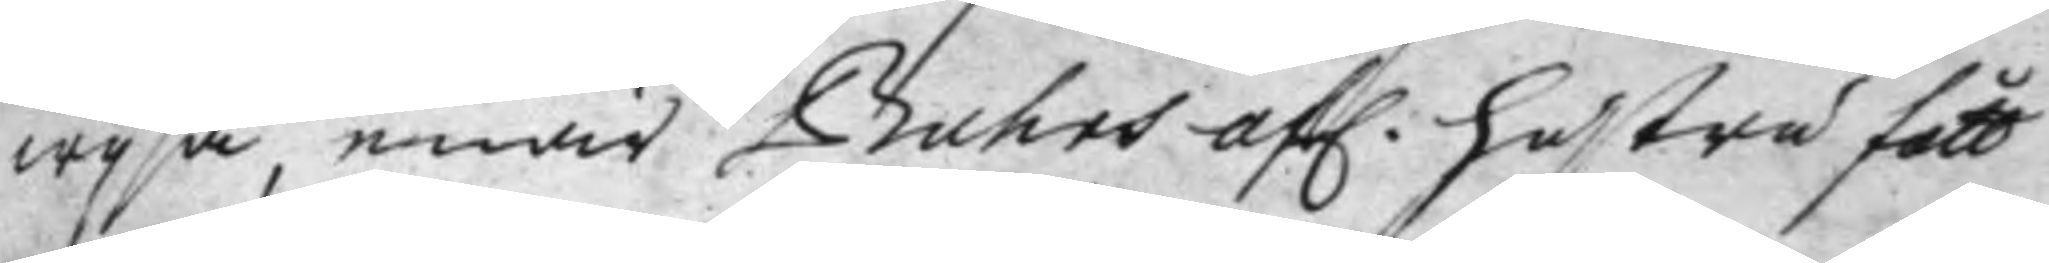wijsa, enär Buhrs af. hustru fått
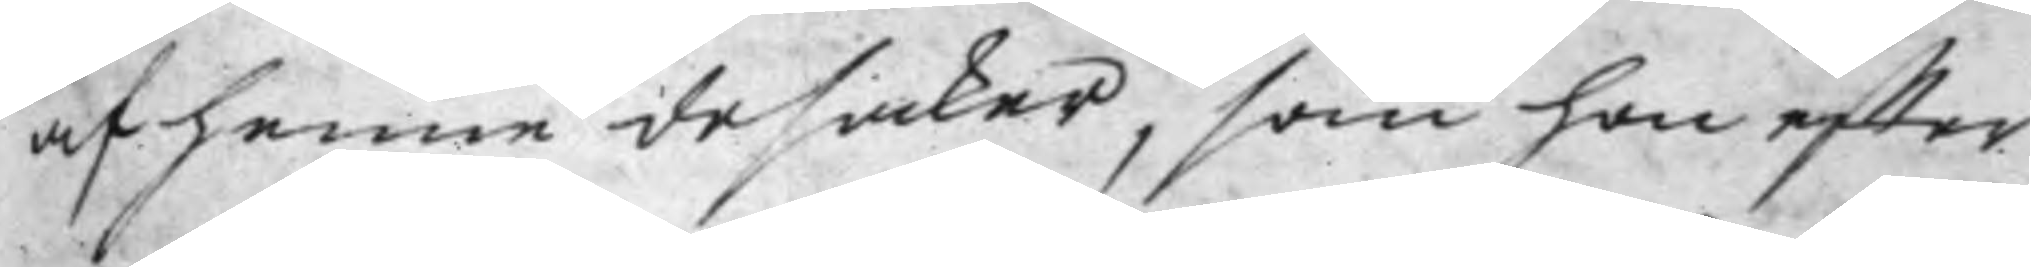af henne de saker, som hon effter
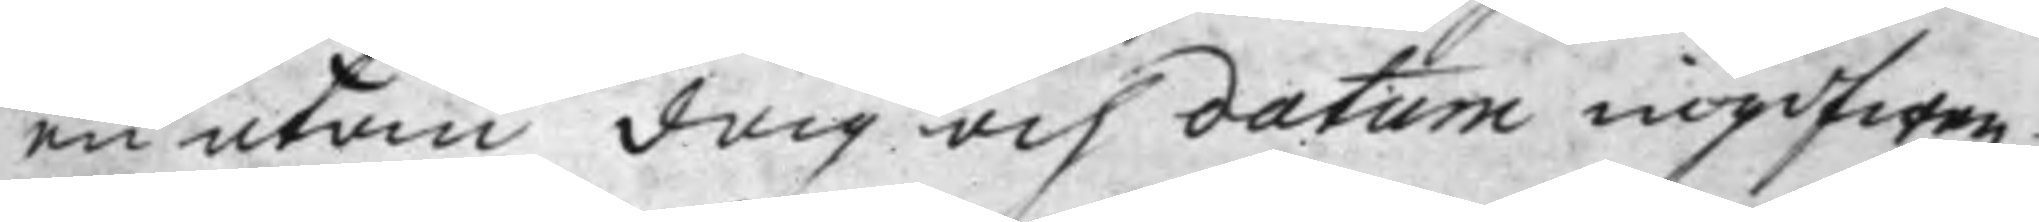en utan dag och datum ingifwen
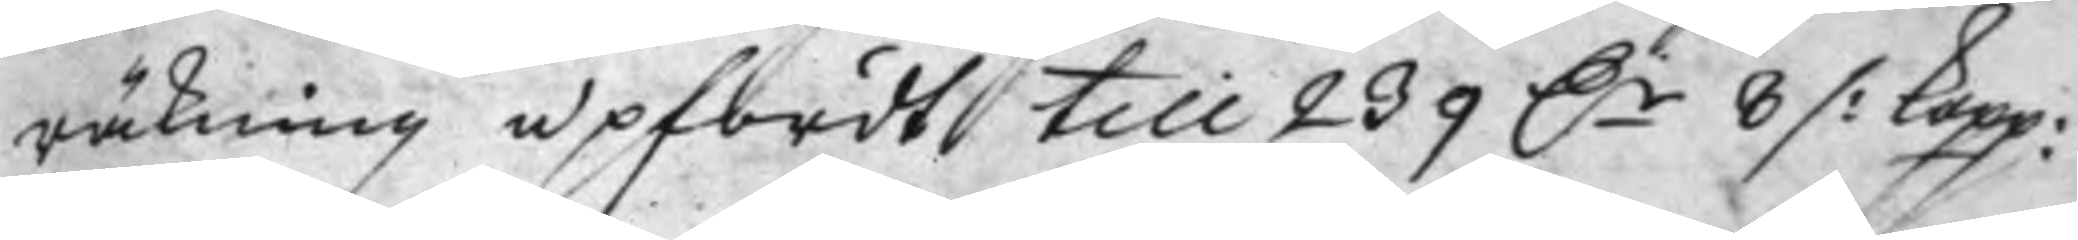räkning upfördt till 239 D.r 8 ⁒ Kopp:
